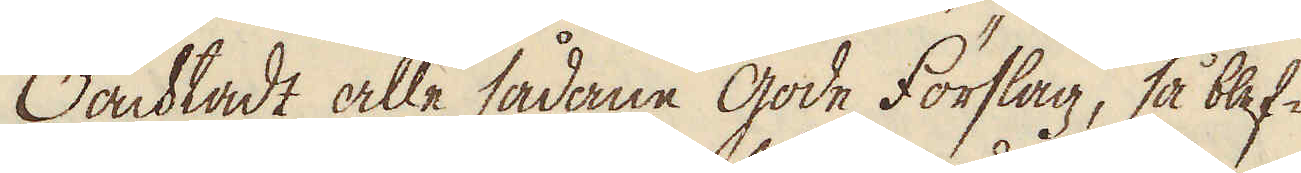Oacktadt alle sådane gode Förslag, så blef-
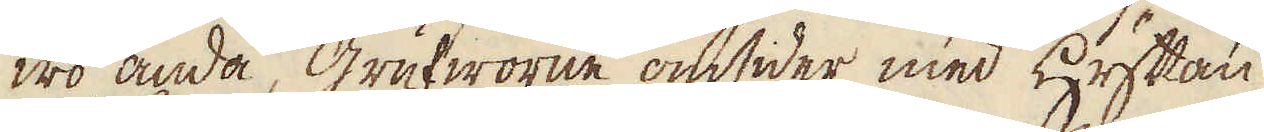wo ändå grufworne omsider med Hyttan
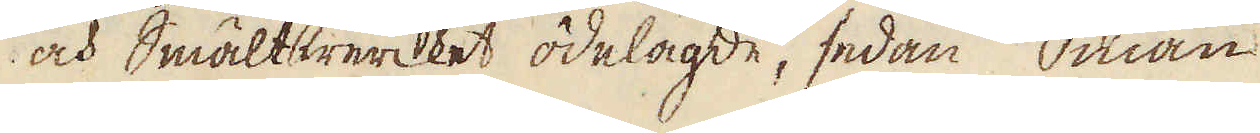och smältwercket ödelagde, sedan man
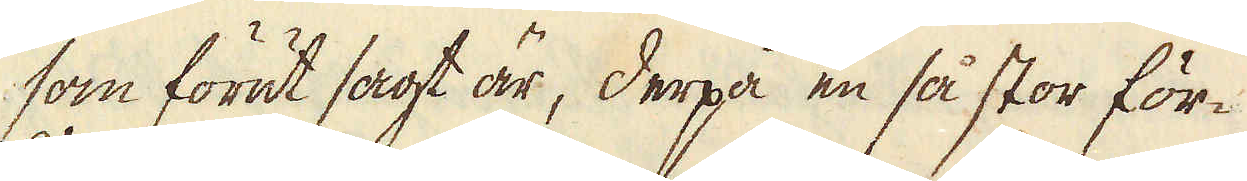som förut sagt är, derpå en så stor för-
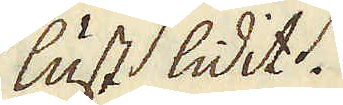lust lidit.
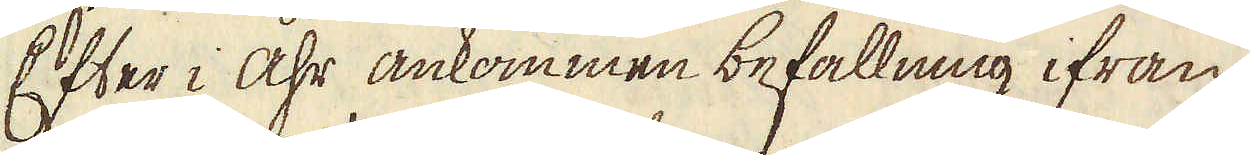Efter i åhr ankommen befallning ifrån
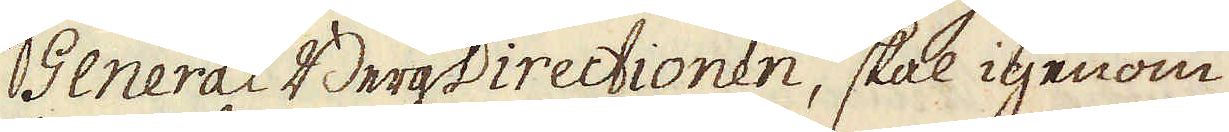General BergDirectionen, skal igenom
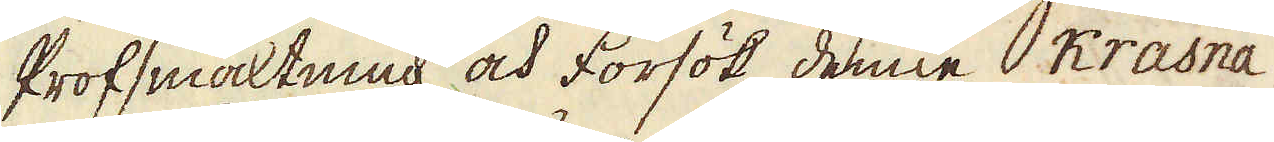Profsmältning och Försök denne Krasna
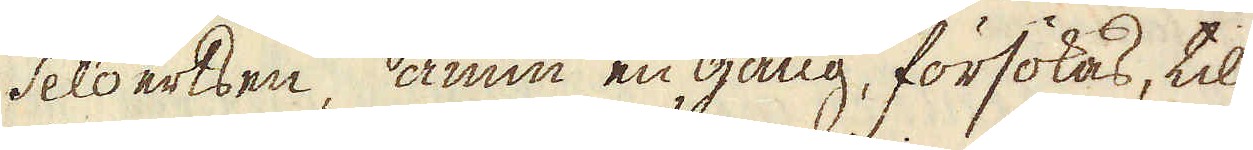Selo ertsen, ännu en gång, försökas, til
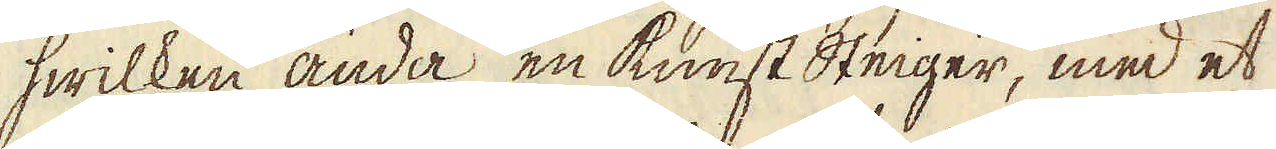hwilken ända en Kunst Steiger, med et
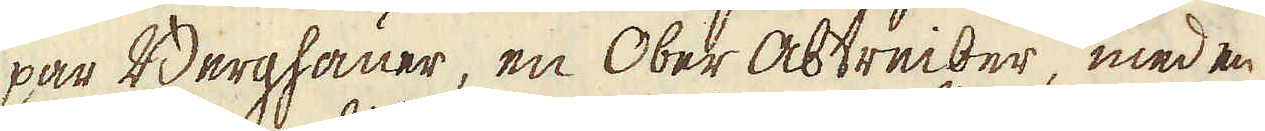par Berghauer, en Ober Abtreiber, med en
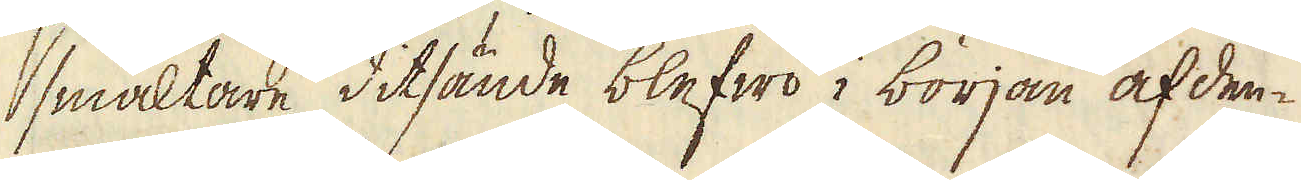smältare ditsände blefwo i början af den-
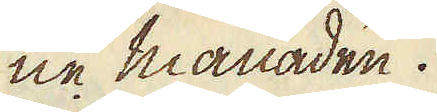ne månaden.
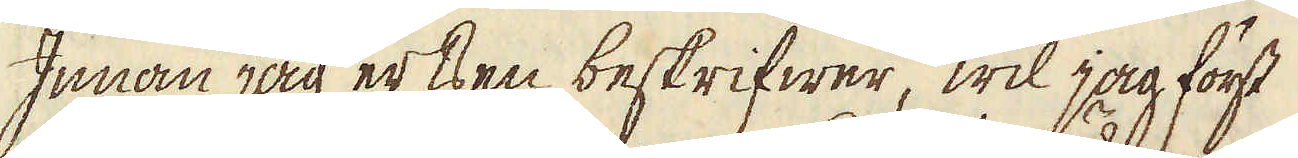Innan jag ertsen beskrifwer, wil jag först
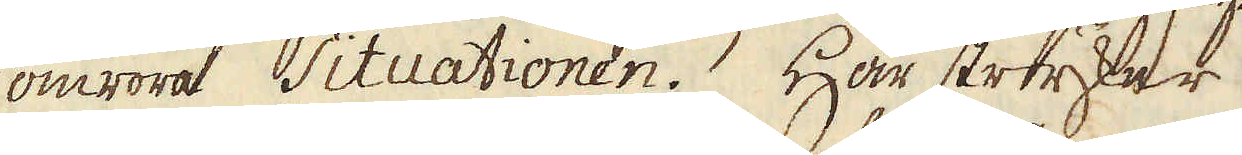omröra Situationen. Här stryker
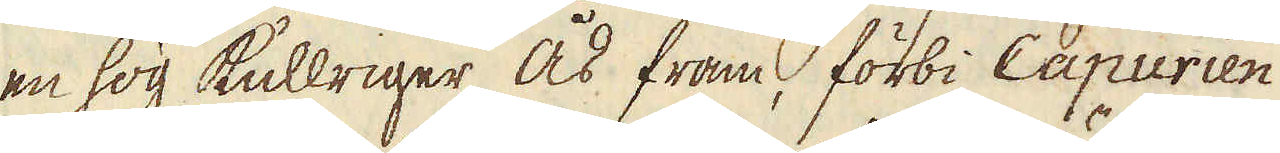en hög kullriger Ås fram, förbi Capurien
